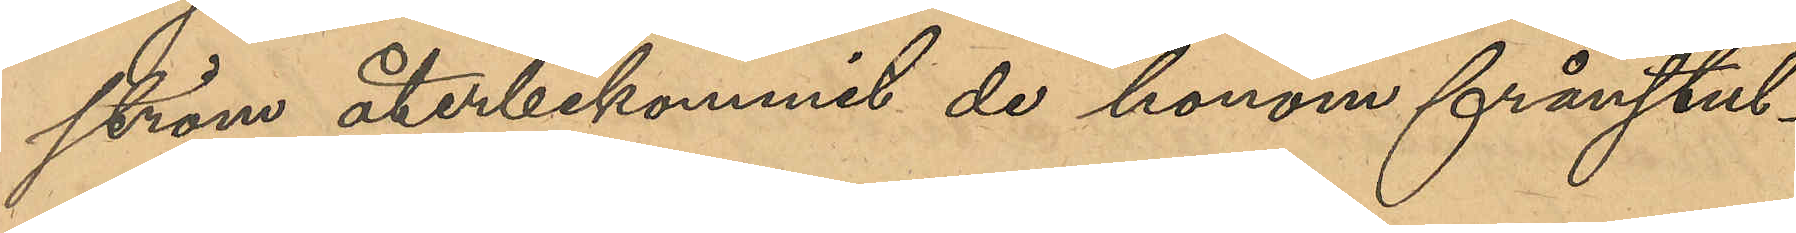ström återbekommit de honom frånstul¬
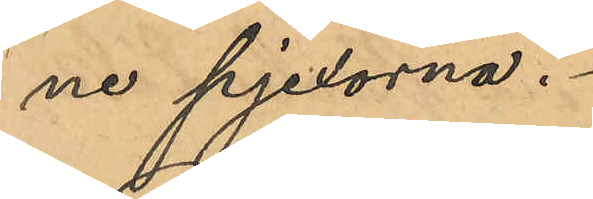ne pjexorna.
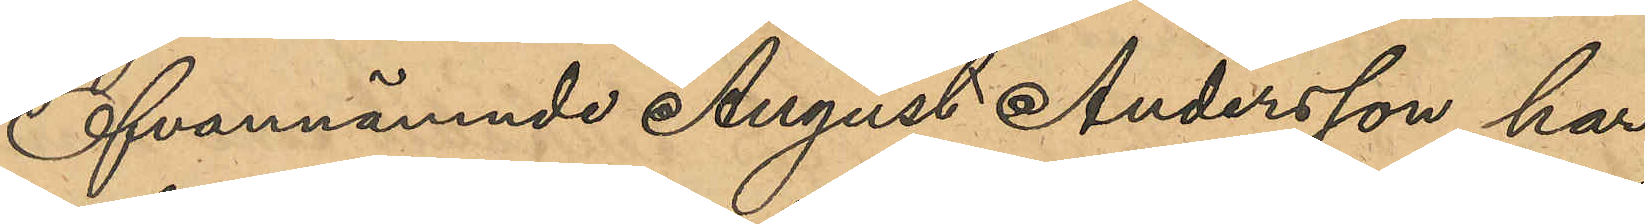Ofvannämnde August Andersson har
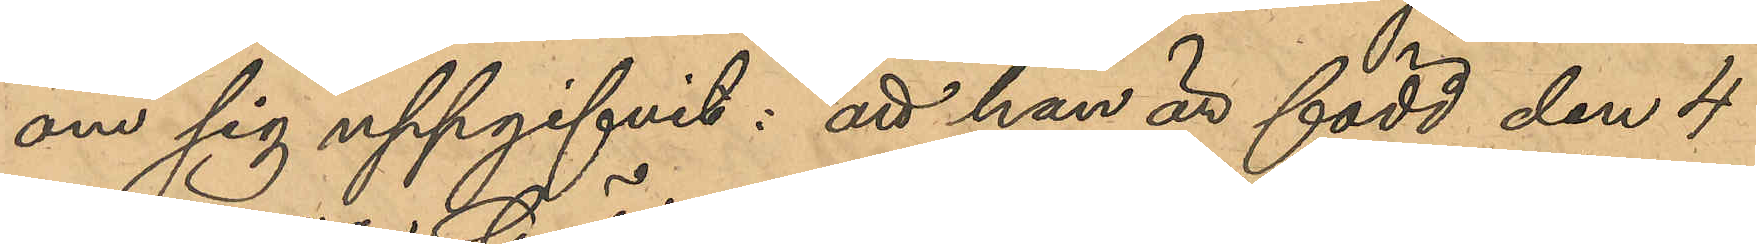om sig uppgifvit: att han är född den 4
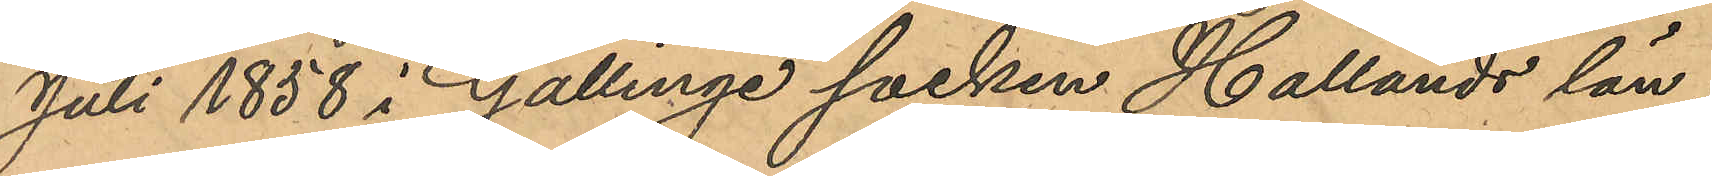Juli 1858 i Gällinge socken Hallands län;
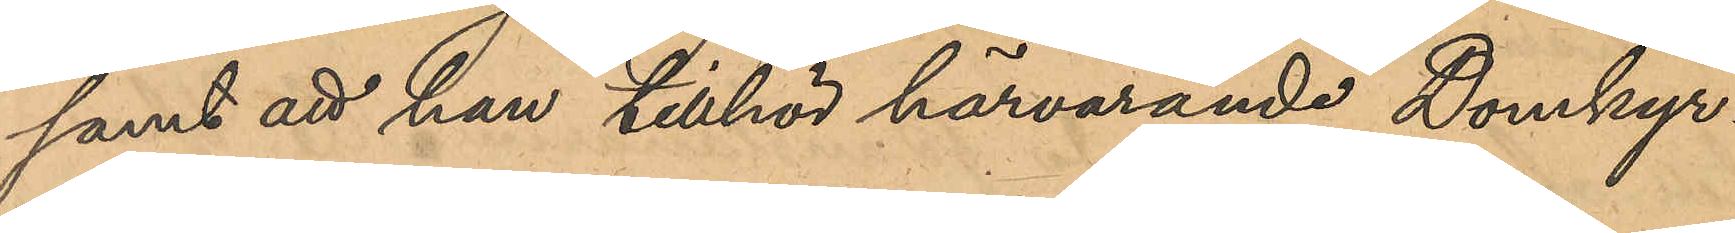samt att han tillhör härvarande Domkyr¬
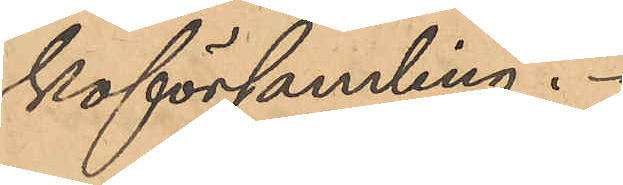koförsamling,
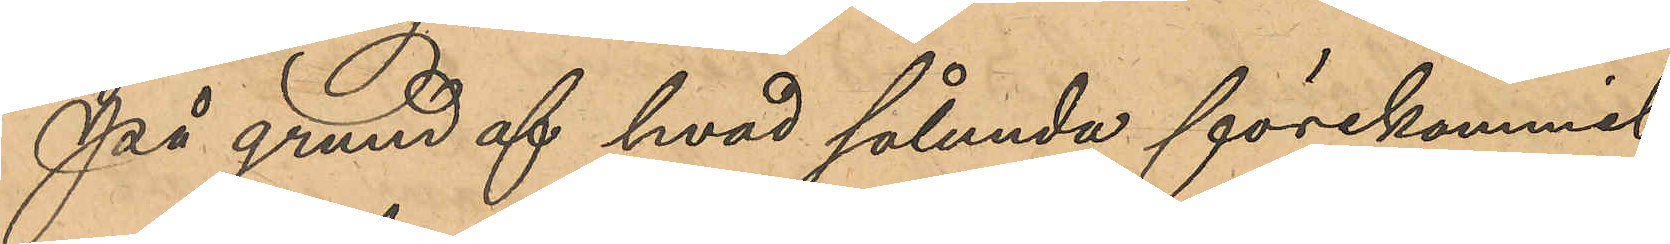På grund af hvad sålunda förekommit
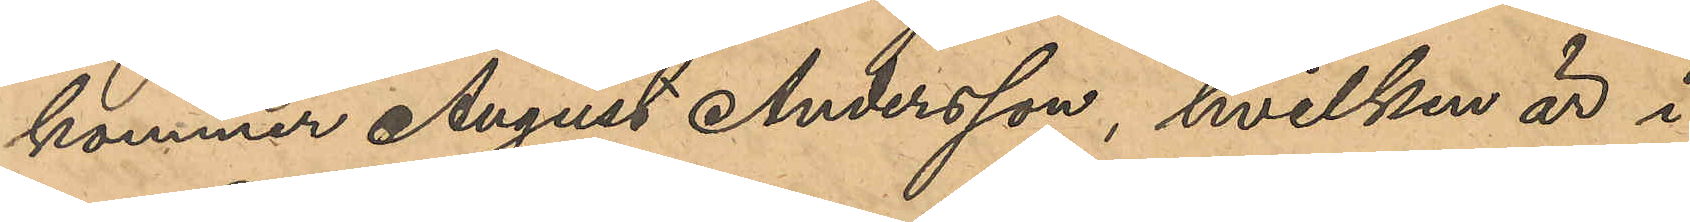kommer August Andersson, hvilken är i
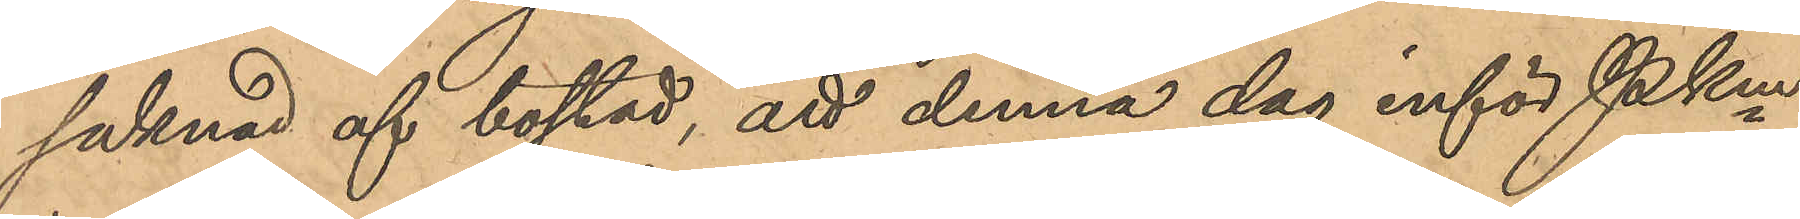saknad af bostad, att denna dag inför Pkm
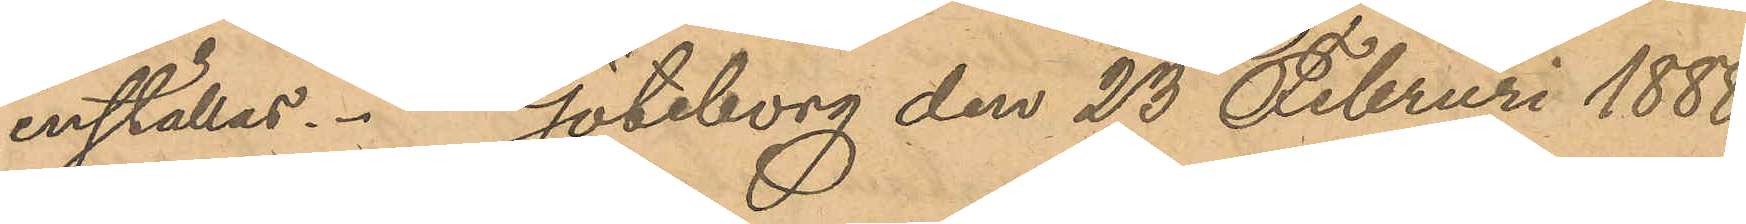inställas. Göteborg den 23 Februari 1888.
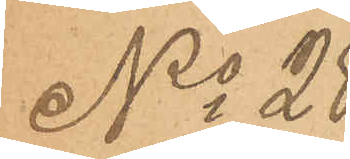No 28
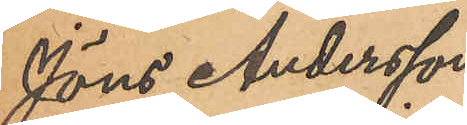Jöns Andersson
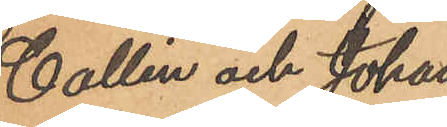Collin och Johan
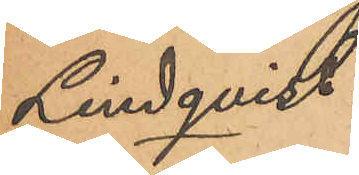Lindqvist.
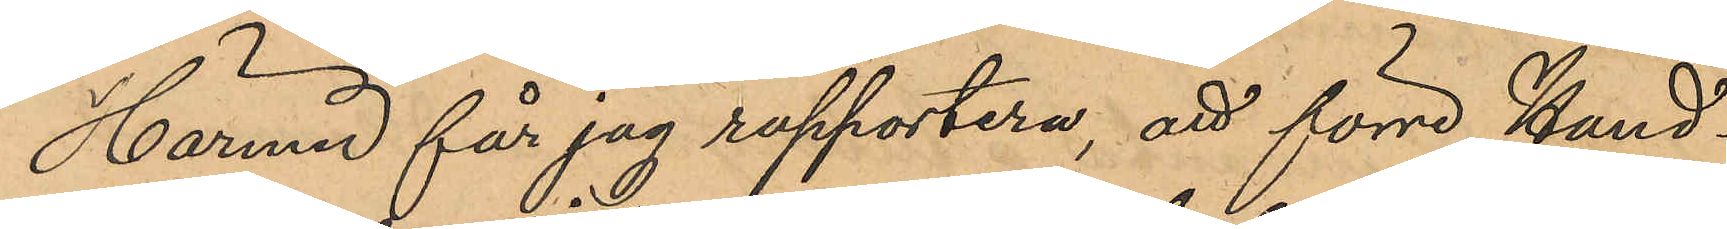Härmed får jag rapportera, att förre Hand¬
